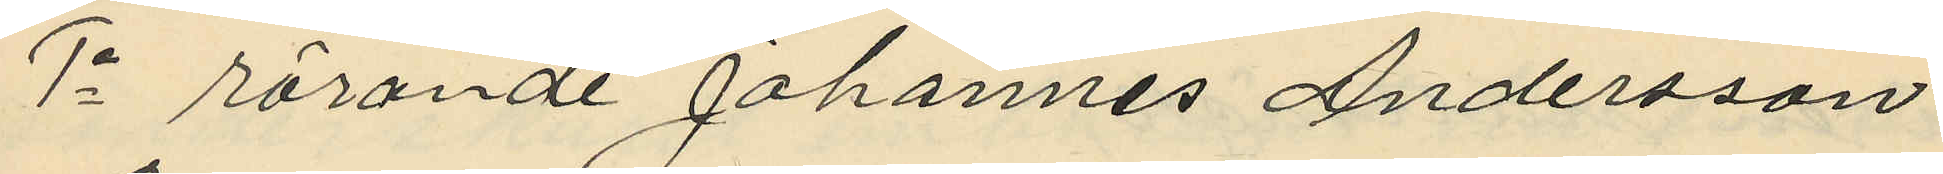1o rörande Johannes Andersson
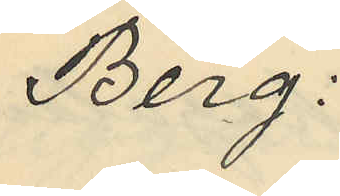Berg.
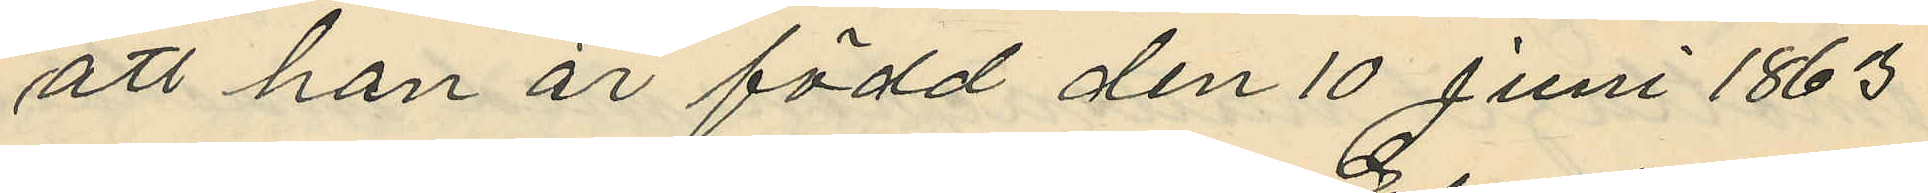att han är född den 10 Juni 1863
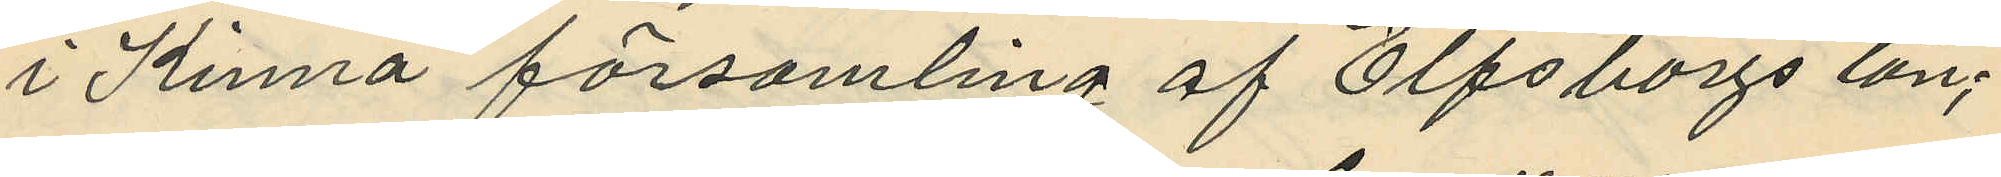i Kinna församling af Elfsborgs län;
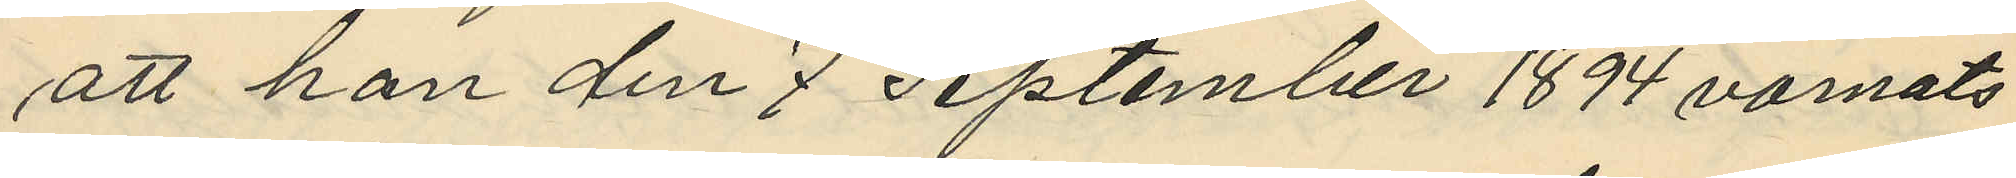att han den 7 September 1894 varnats
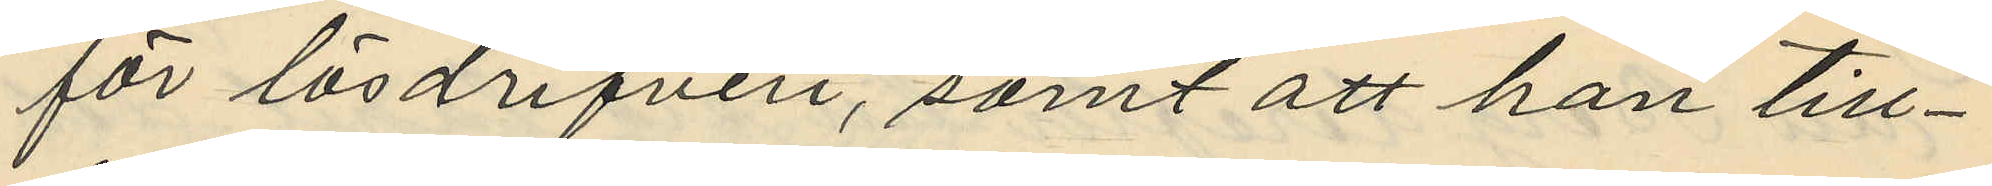för lösdrifveri, samt att han till¬
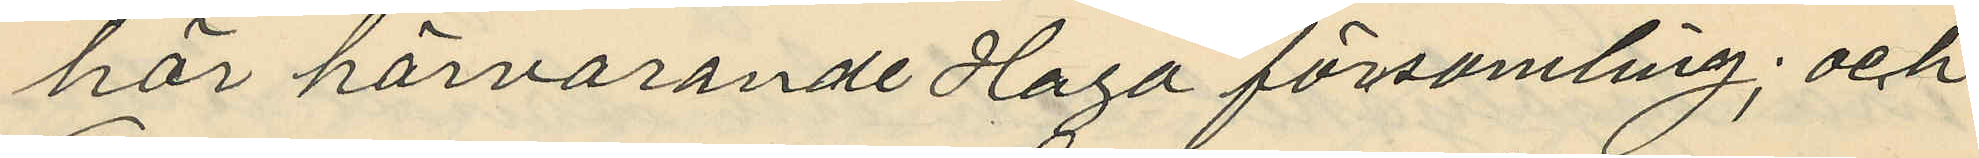hör härvarande Haga församling; och
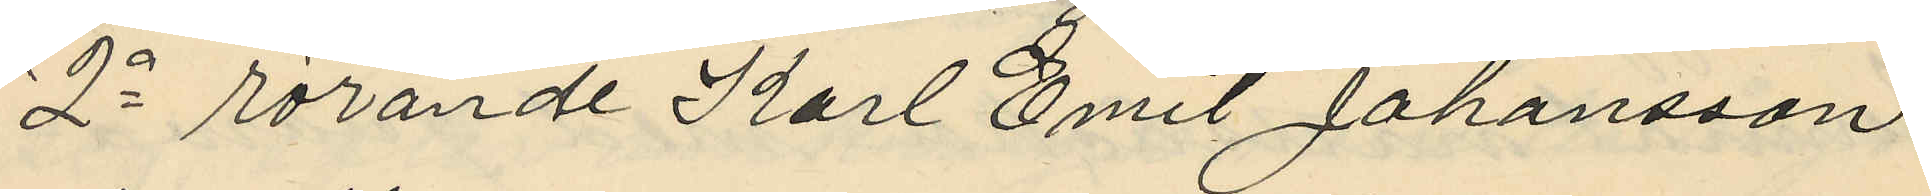2o rörande Karl Emil Johansson
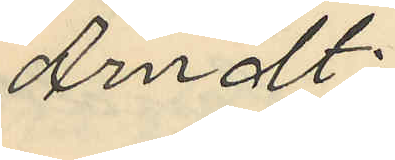Arndt:
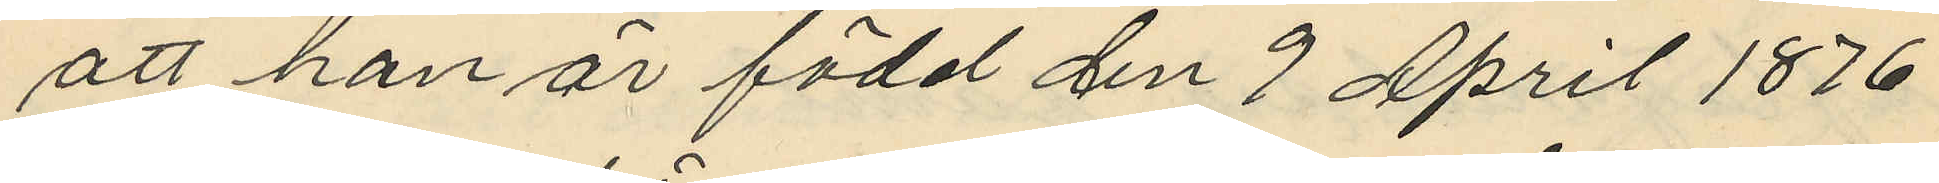att han är född den 9 April 1876
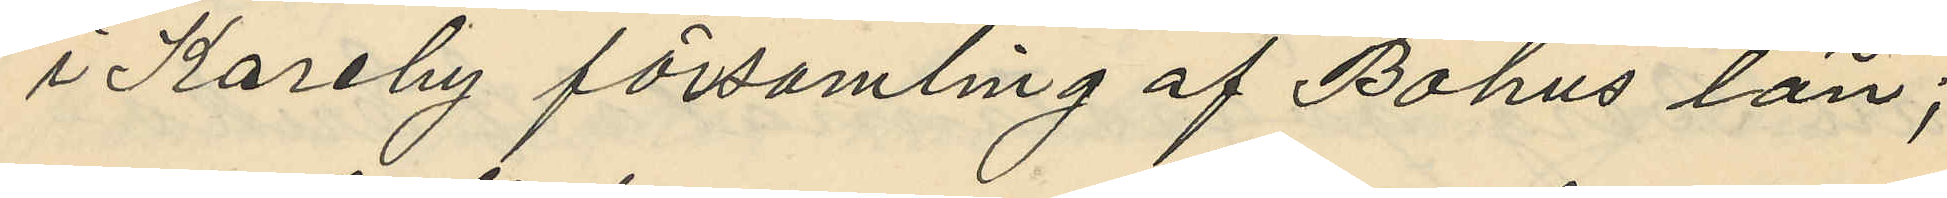i Kareby församling af Bohus län;
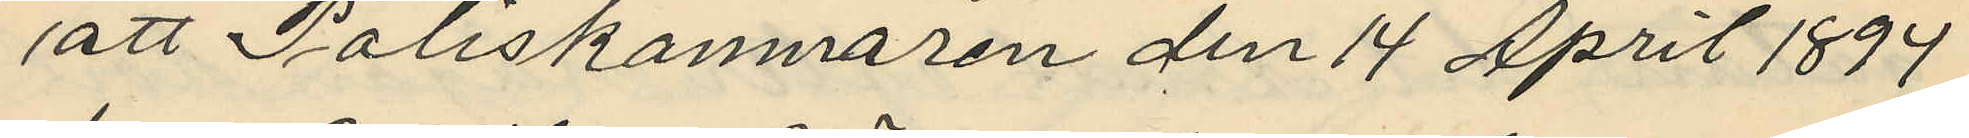att Poliskamnaren den 14 April 1899
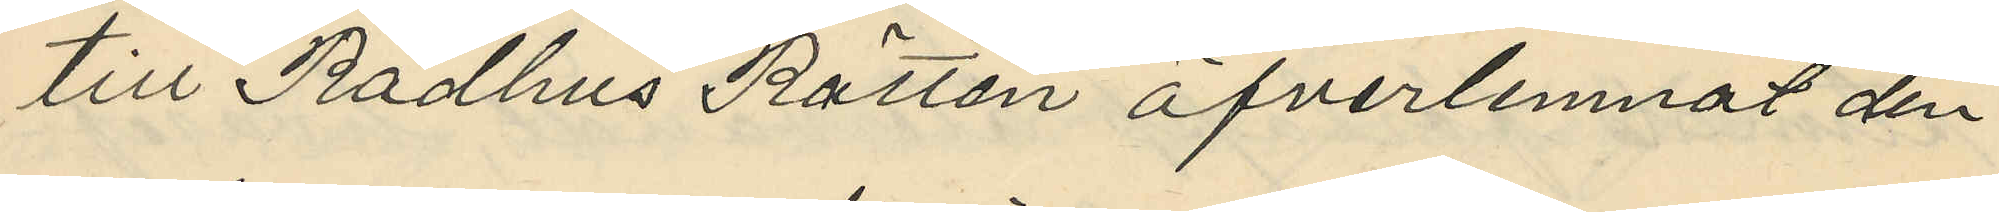till Rådhus Rätten öfverlemnat den
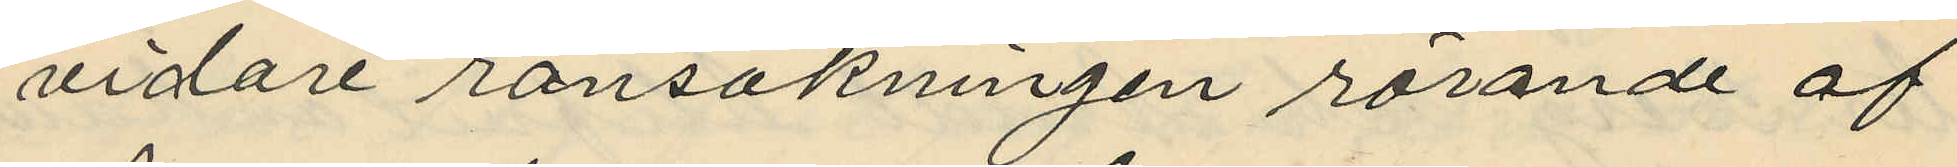vidare ransakningen rörande af
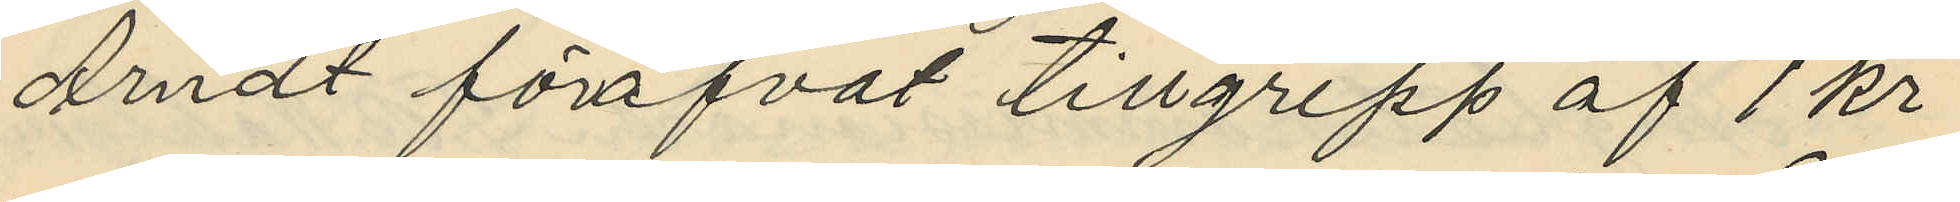Arndt föröfvat tillgrepp af 1 kr
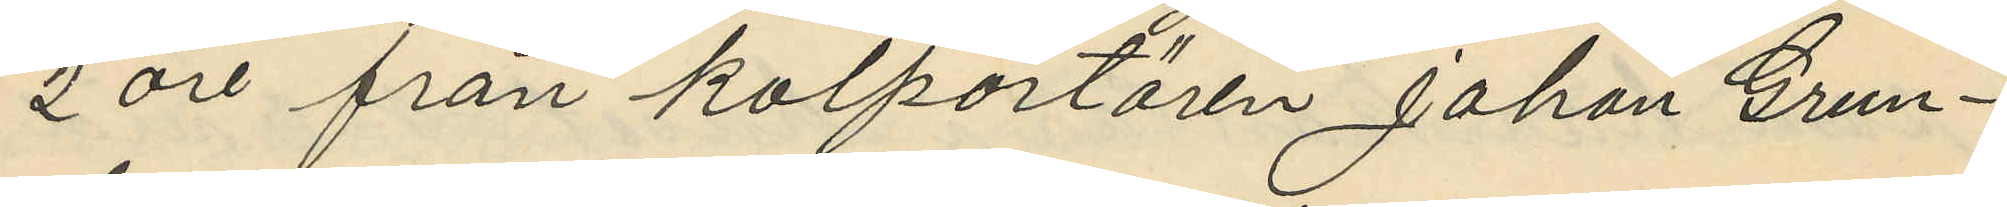2 öre från kolportören Johan Grun¬
